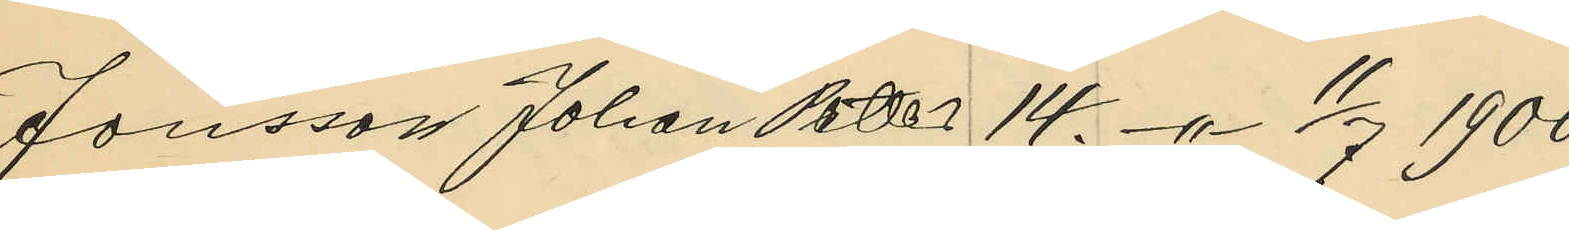Jonsson Johan Petter 14. -"- 11/7 1900;
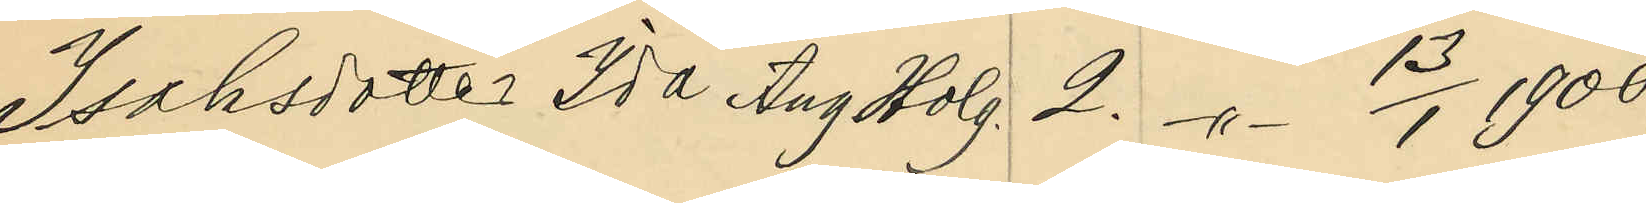Isaksdotter Ida Aug Holg. 2. -"- 13/1 1900;
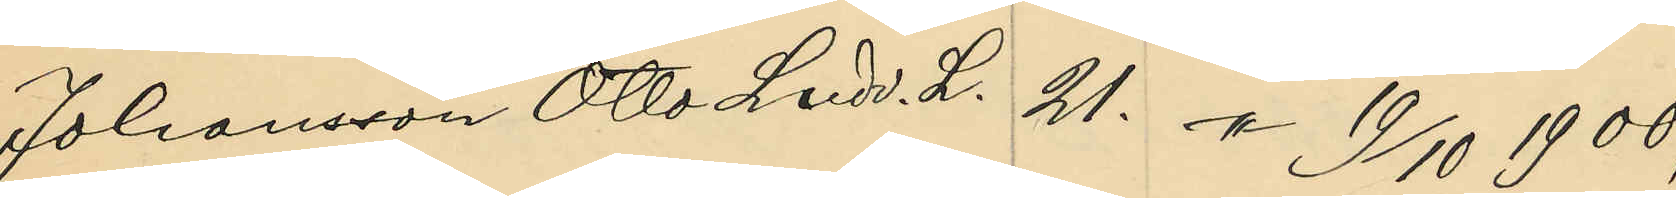Johansson Otto Ludv. L. 21. -"- 19/10 1900;
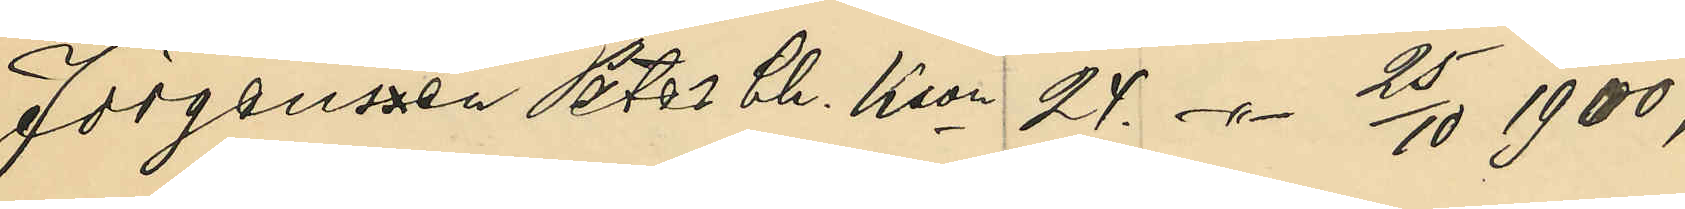Jörgenssen Peter Ch. Kson 24. -"- 25/10 1900;
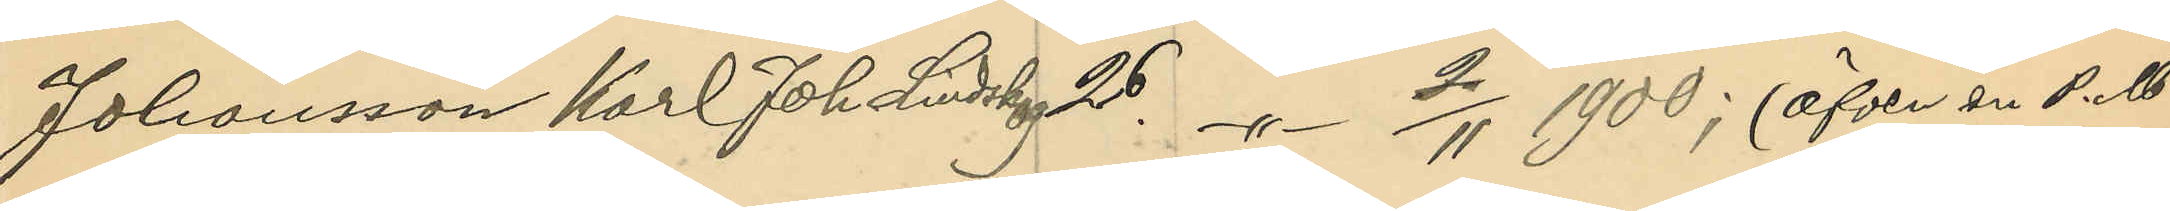Johansson Karl Johan Lindskog 26.  -"- 2/11 1900; (äfven en P.M!)
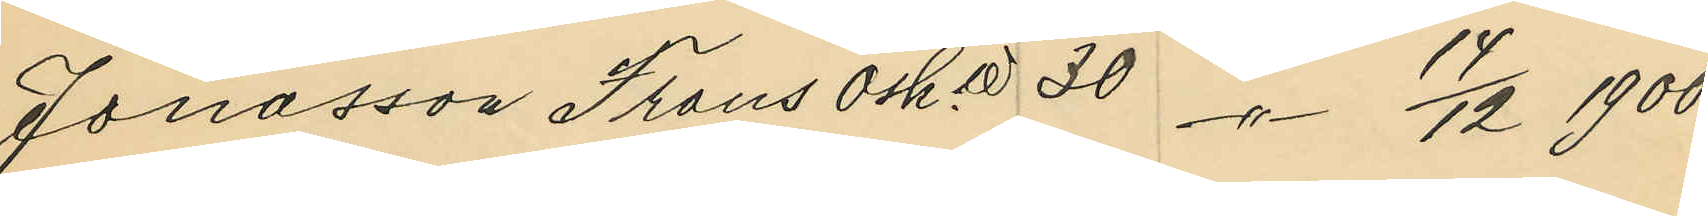Jonasson Frans Osk. W 30 -"- 14/12 1900;
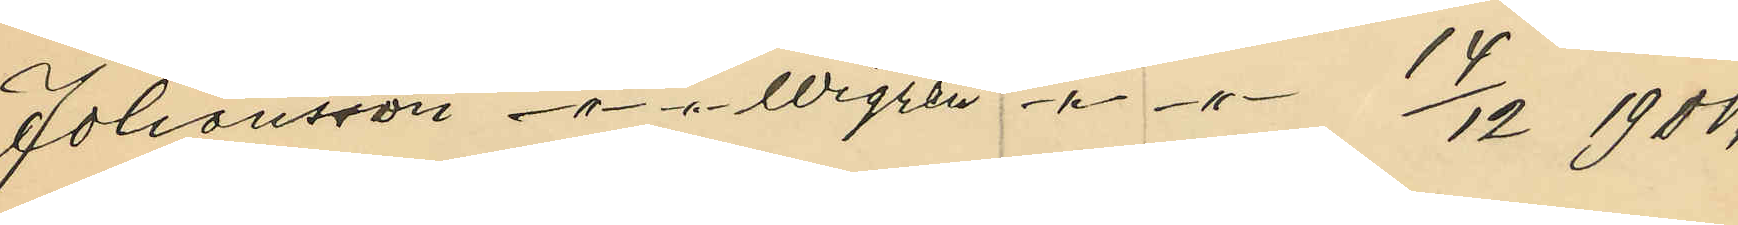Johansson -"- -"- Wigren -"- -"- 14/12 1900;
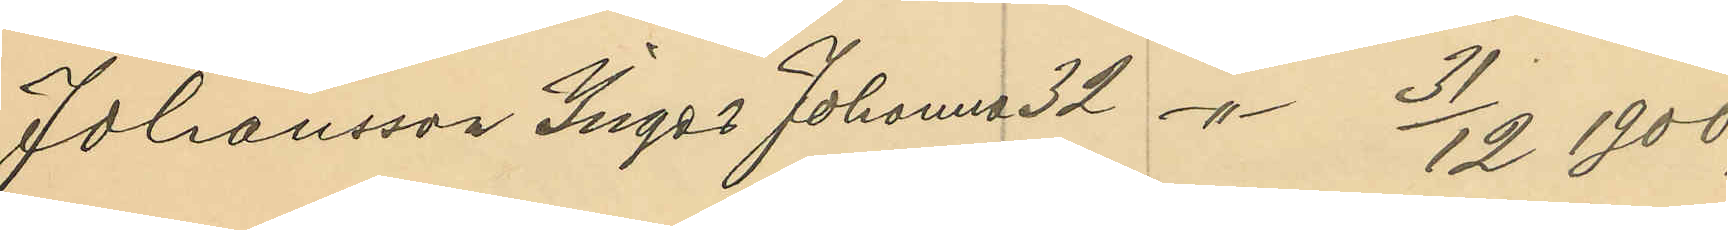Johansson Inger Johanna 32 -"- 31/12 1900;
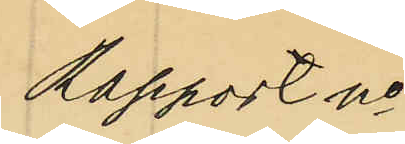Rapport no
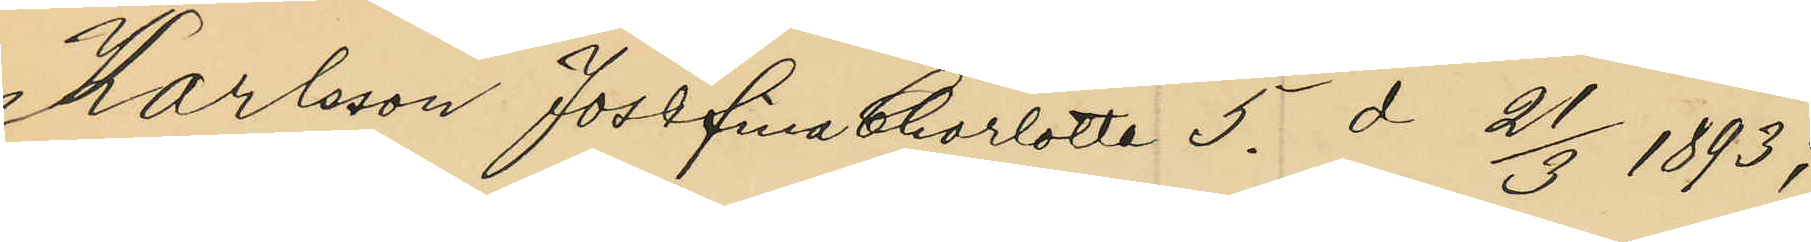Karlsson Josefina Charlotta 5. d 21/3 1893;
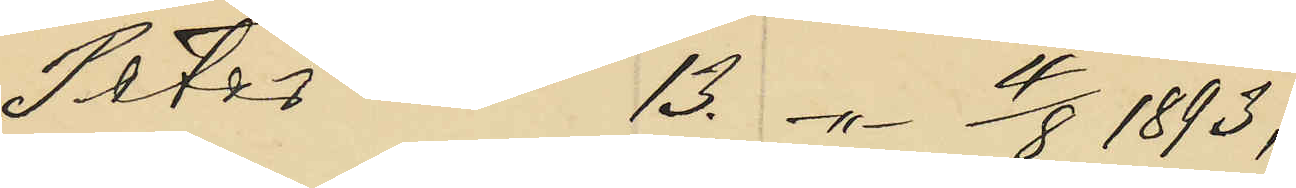Peter 13. -"- 4/8 1893;
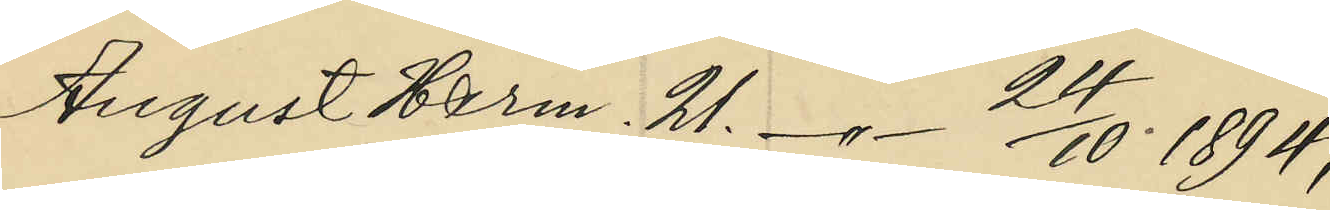August Herm. 21. -"- 24/10 1894;
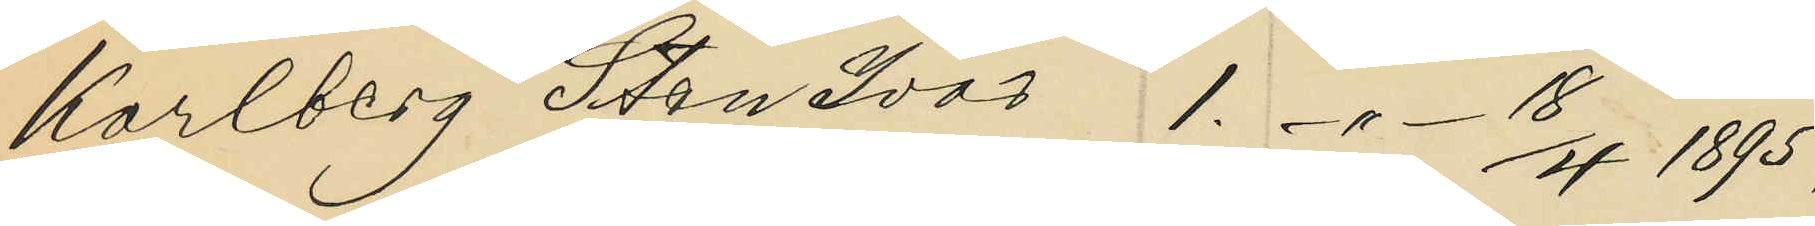Karlberg Sten Ivar 1. -"- 18/4 1895;
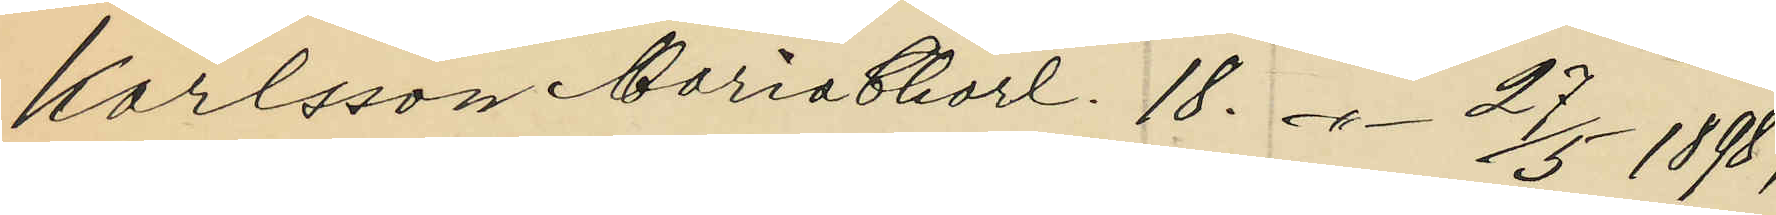Karlsson Maria Charl. 18. -"- 27/5 1898;
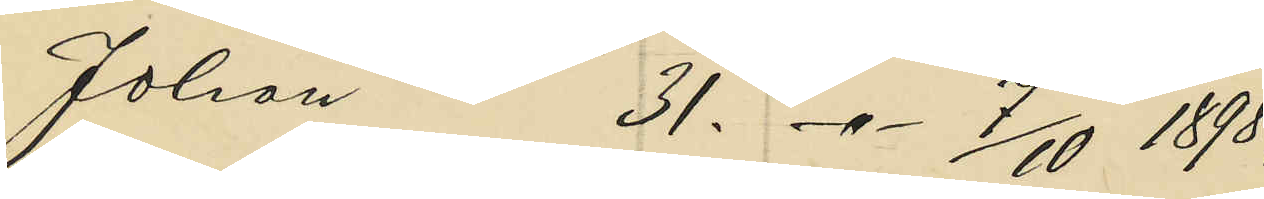Johan 31. -"- 7/10 1898;
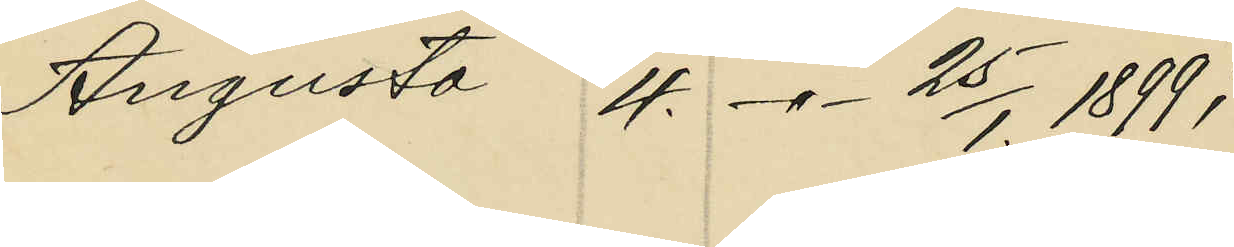Augusta 4. -"- 25/1. 1899;
